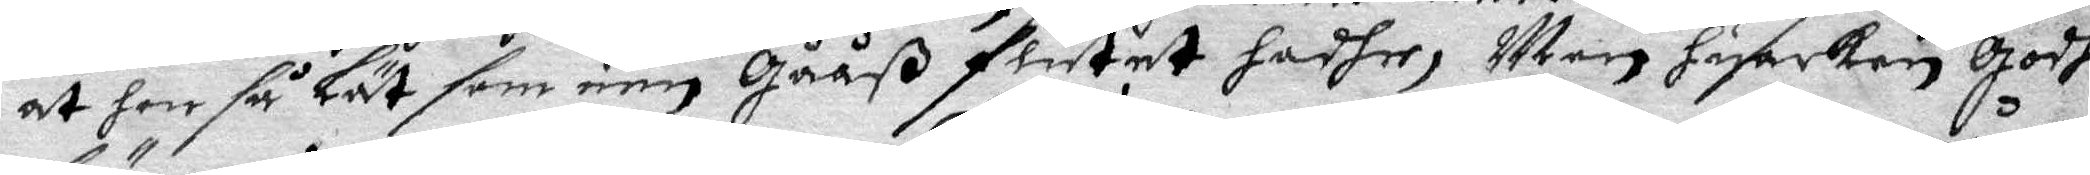at hon så lät som een Gååß flutet hadhe, Men huarken Godhe
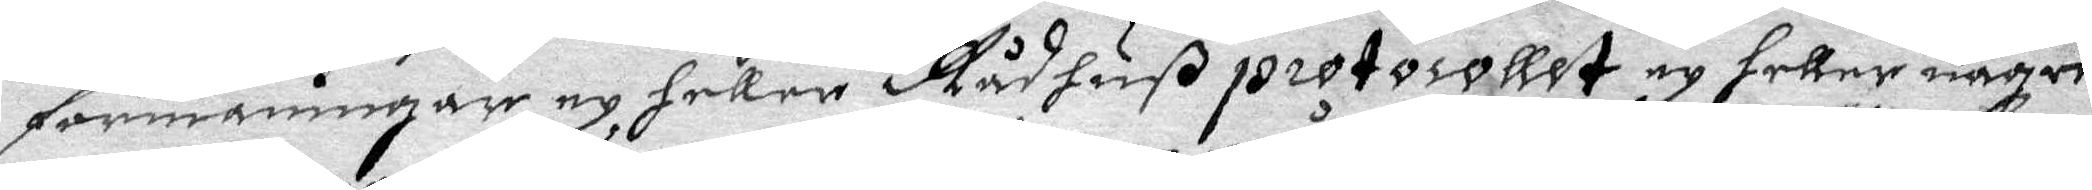förmaningar ey heller Rådhußprotocollet ey heller någre
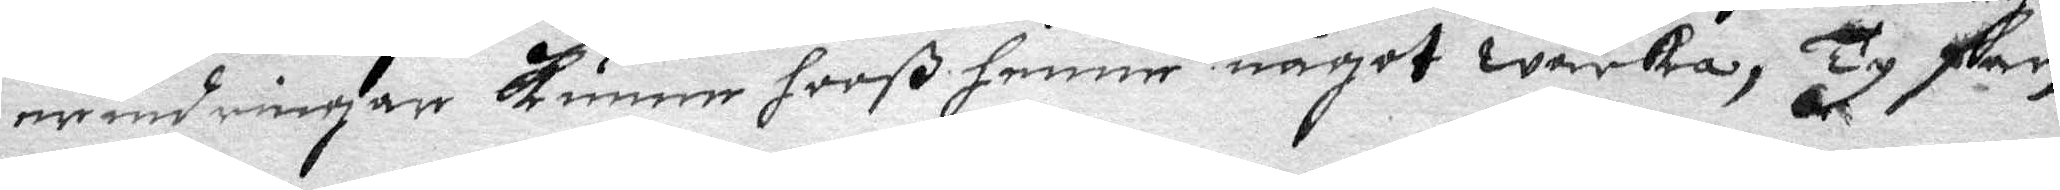erindringar kunna hooß henne något wärka, Ty fan
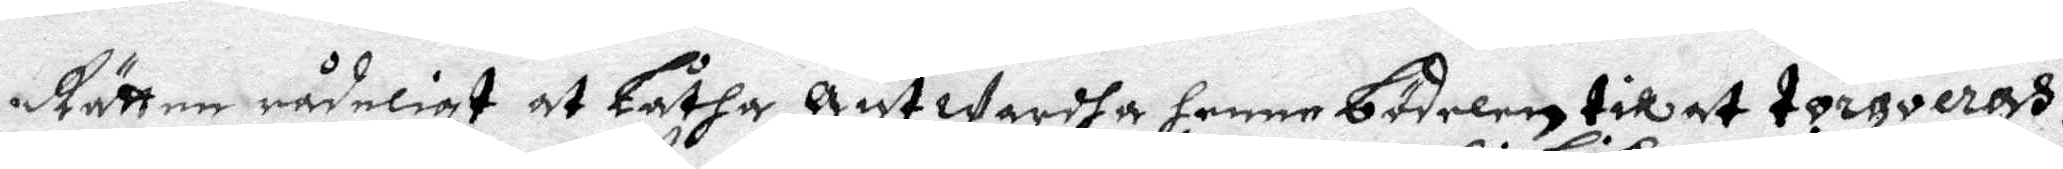Rätten rådeligt at Låtha Ant wardha henne bödelen till at torqveras.
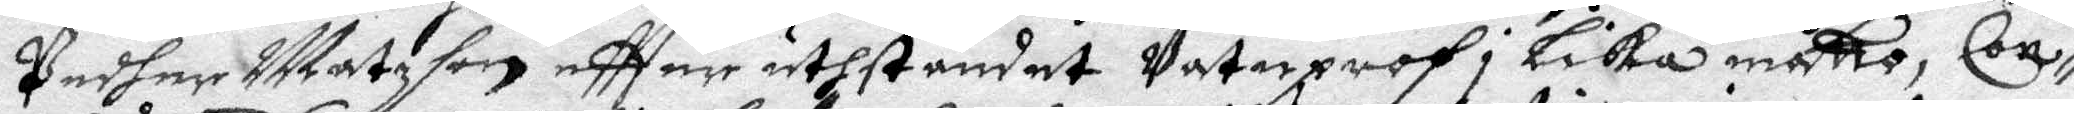Peher Matzson eftter uthståndet Vatuprof i Lika måtto, Con¬
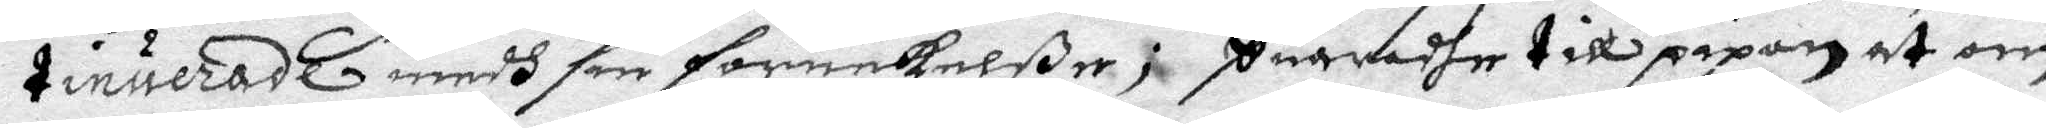tinuerade medh sin förnekelße; suaradhe till pipan at om
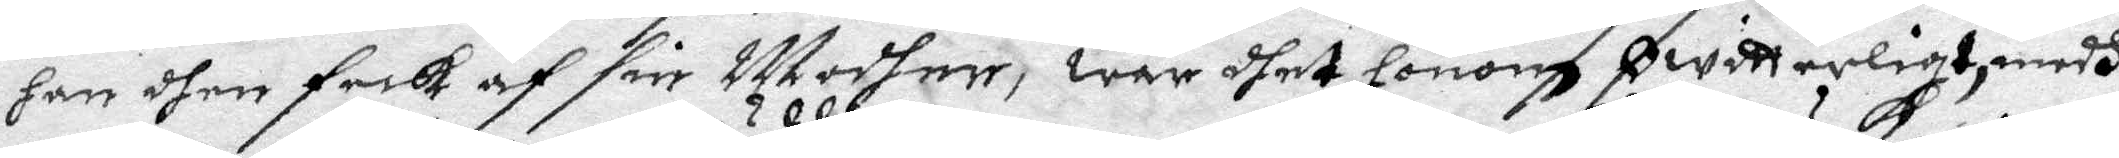han dhen feck af sin Modher, war dhet honom Owitterligt, medh
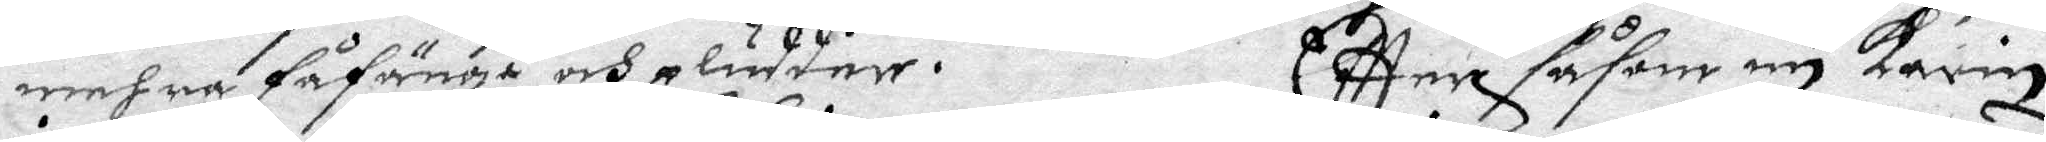mehra fåfänga och pladder. Eftter såsom nu karin
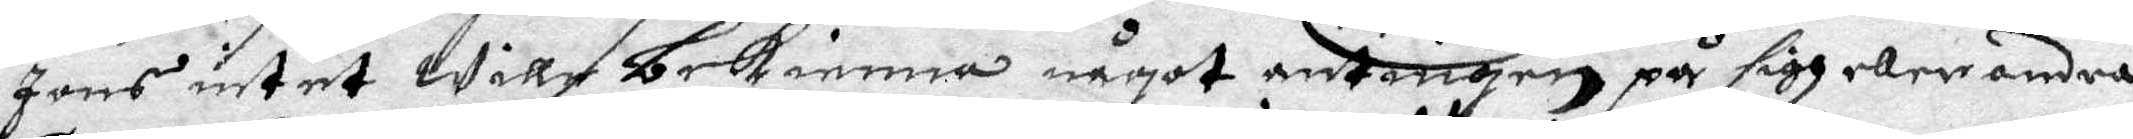Jons intet Wille bekienna något antingen på sigh eller andra,
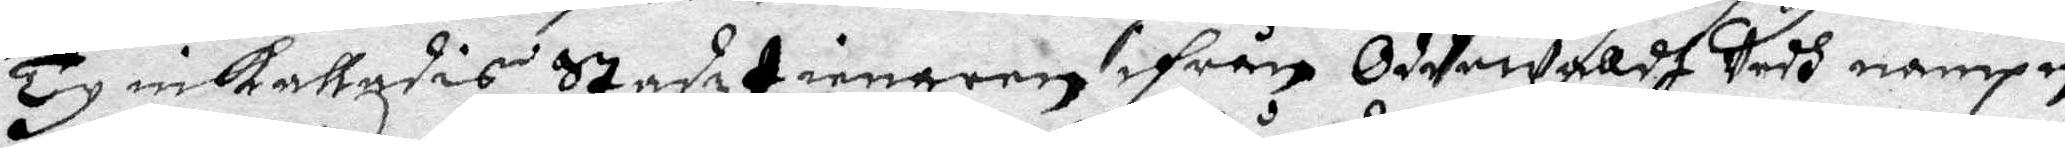Ty inkalladis Stadztienaren ifrån Oddewalldh Stadh namnp
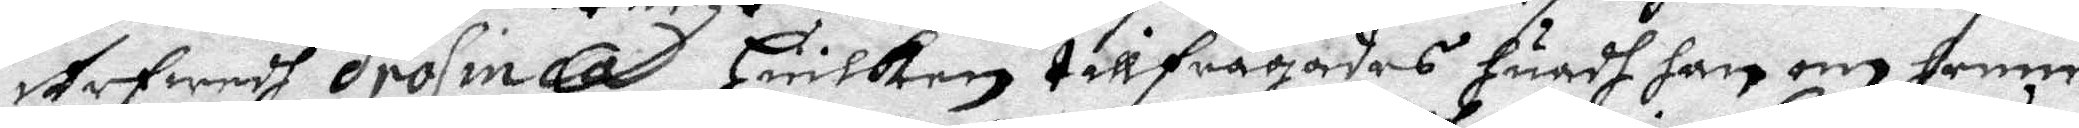Arfwedh Drosinca Huilken tillfrågades huadh han om henne
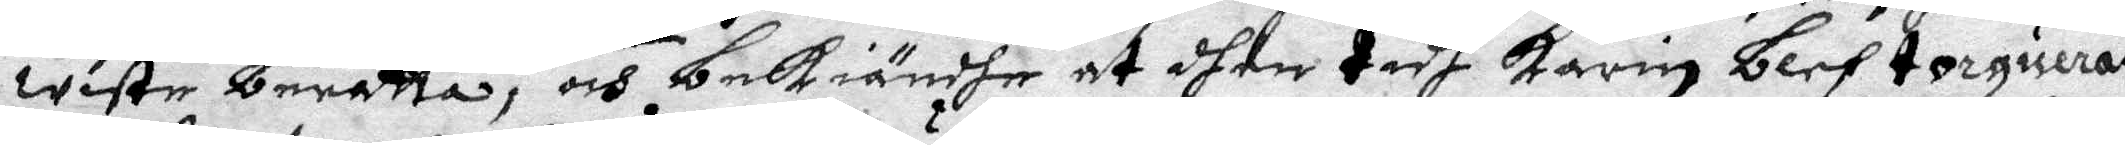wiste berätta, och bekiändhe at dhen tidh Karin blef torquerst
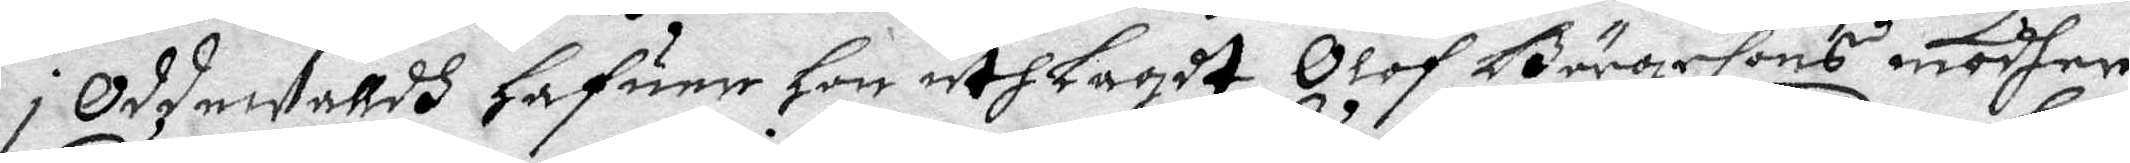i Oddewalldh hafuer hon uthlagdt Olof Bängesons modher,
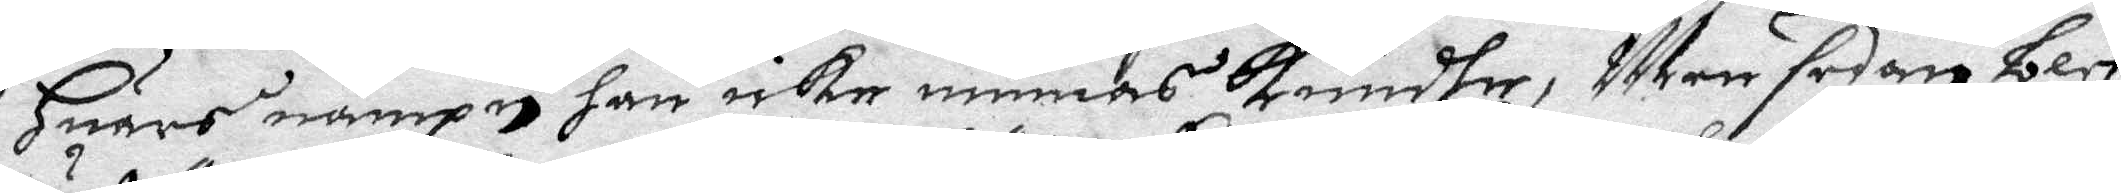Huars nampn han icke minnas kundhe, ;em sedan blef
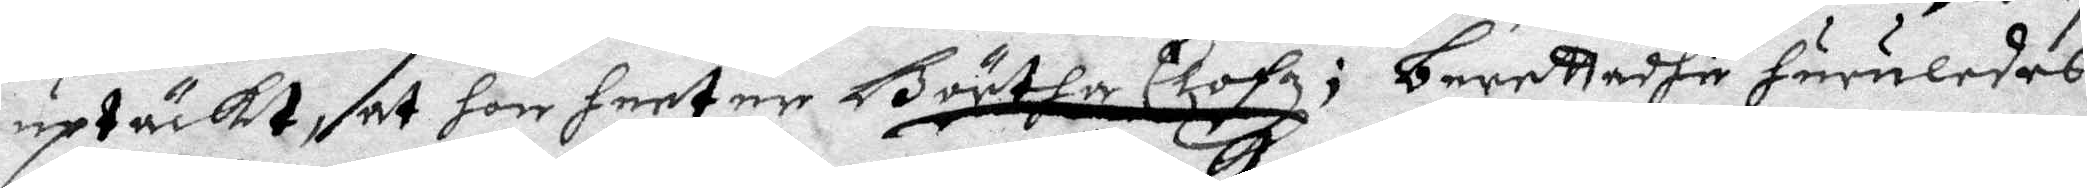uptäckt at hon heeter Börtha Clofz; berettadhe huruledes
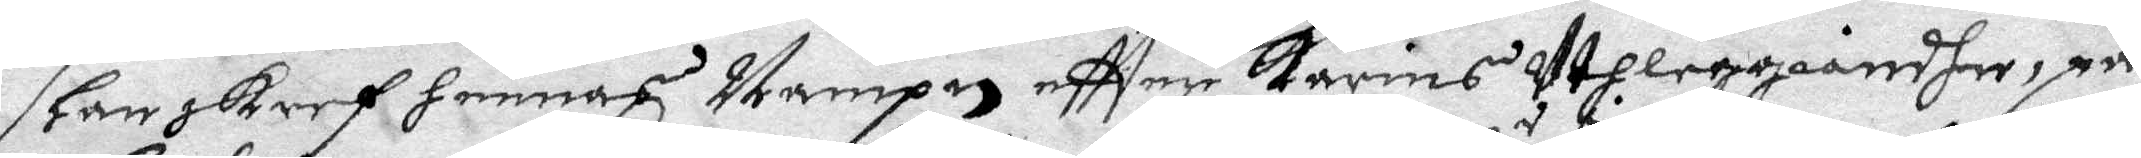han skref hennes Nampn eftter karins Uthleggiandhe på
